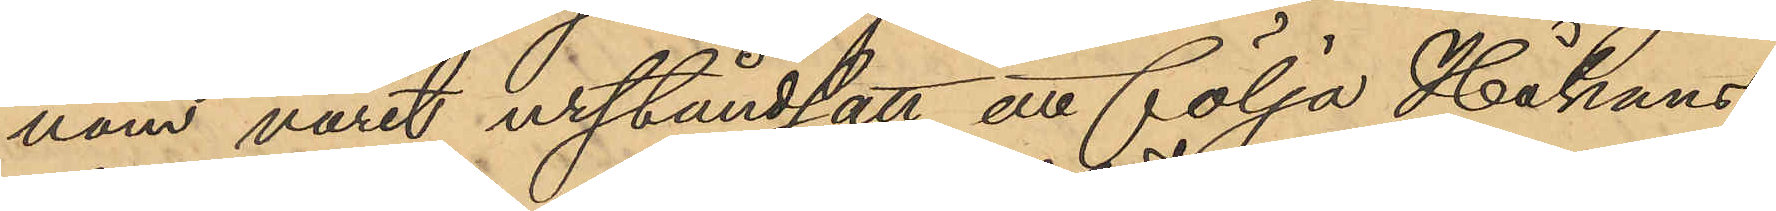nom varit urståndsatt att följa Håkans-
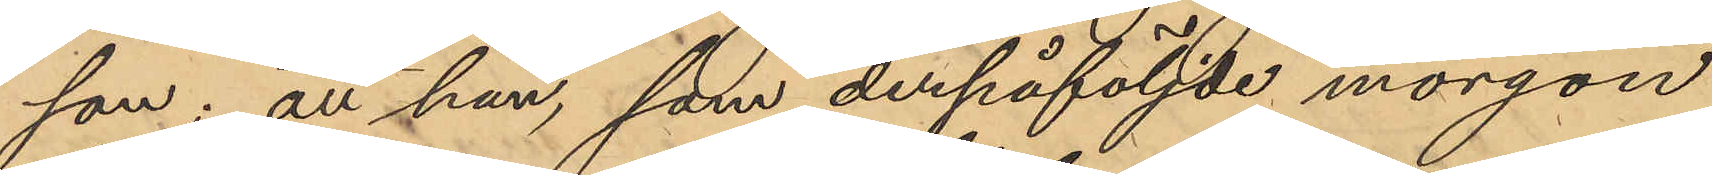son; att han, som derpåföljde morgon
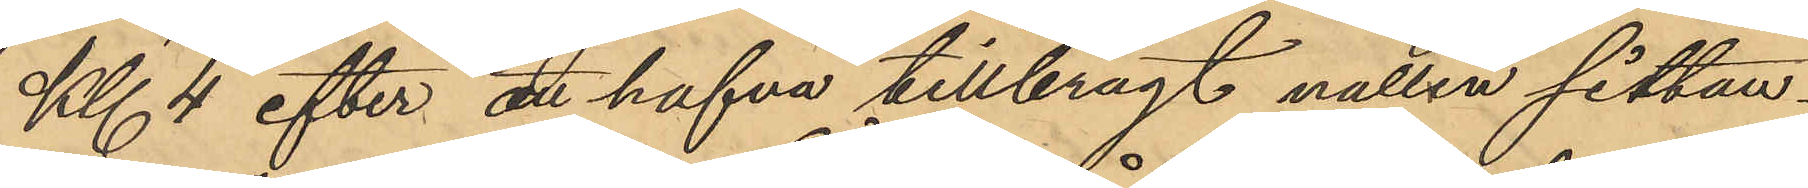Kl 4 efter att hafva tillbragt natten sittan¬
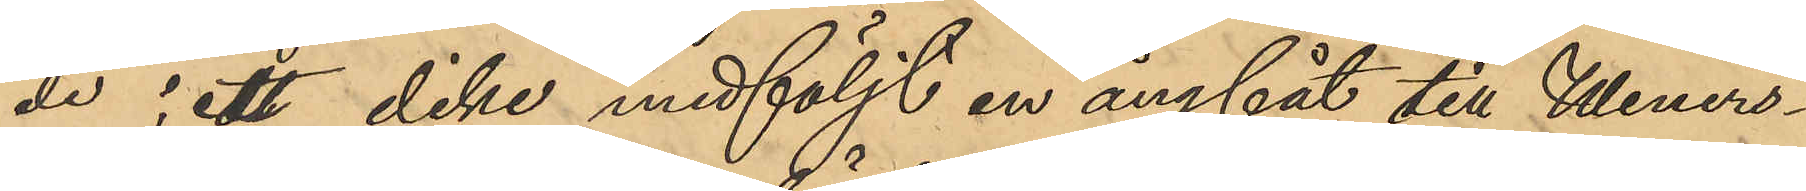de i ett dike medföljt en ångbåt till Weners¬
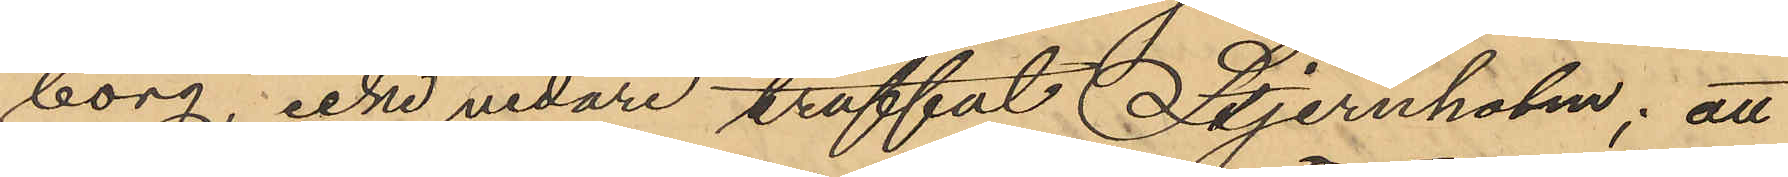borg, icke vidare träffat Stjernholm; att
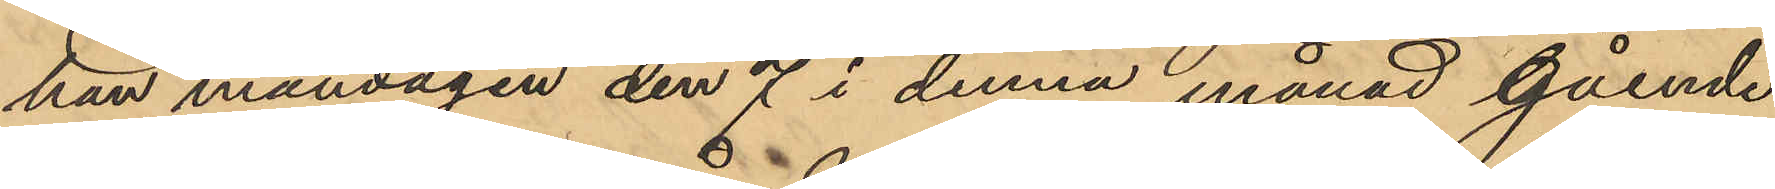han måndagen den 7 i denna månad gående
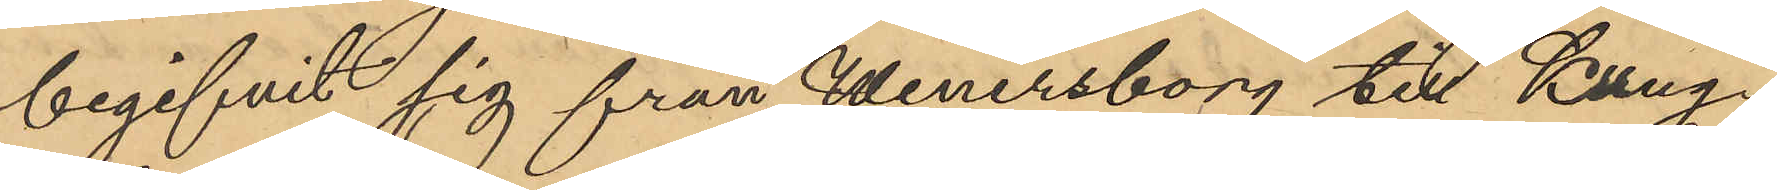begifvit sig från Wenersborg till Kung¬
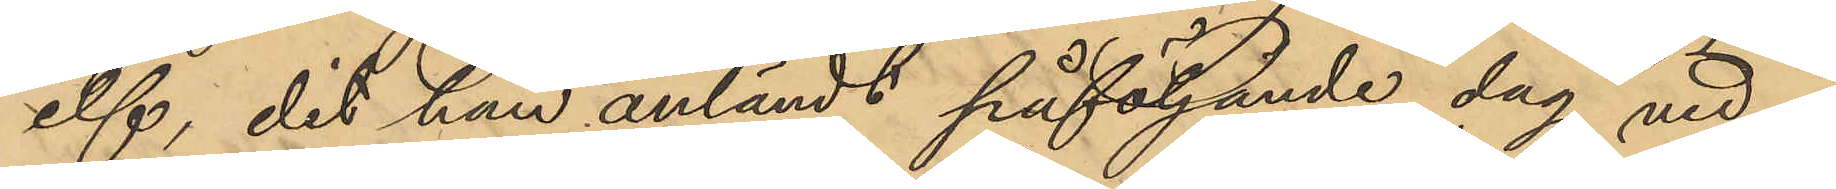elf, dit han anländt påföljande dag vid 
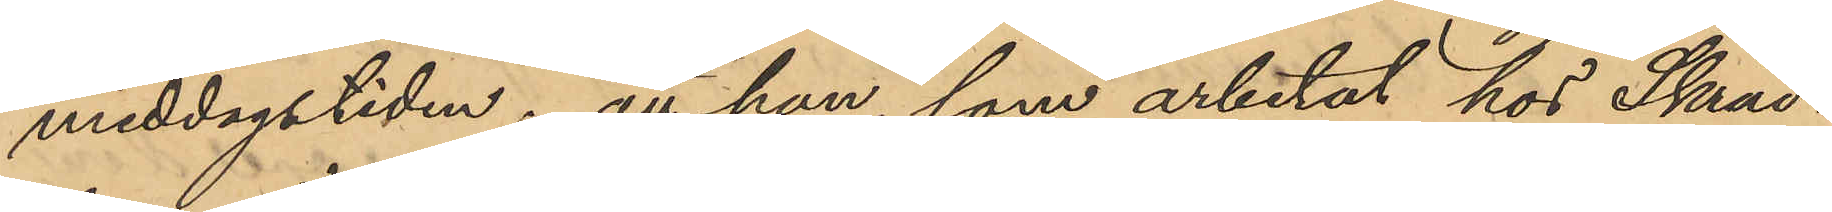middagstiden; att han som arbetat hos Skräd¬
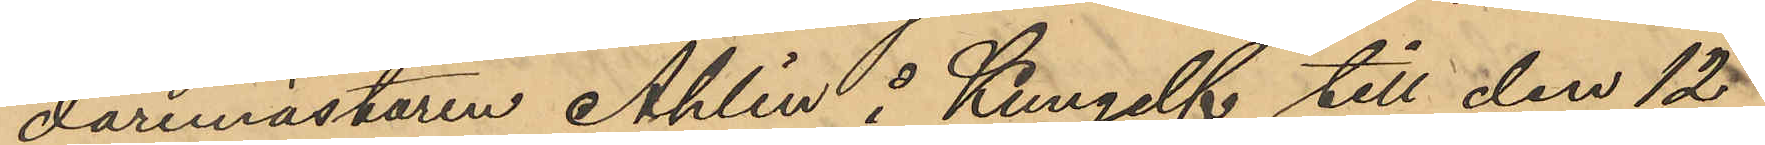daremästaren Ahlin å Kungelf till den 12
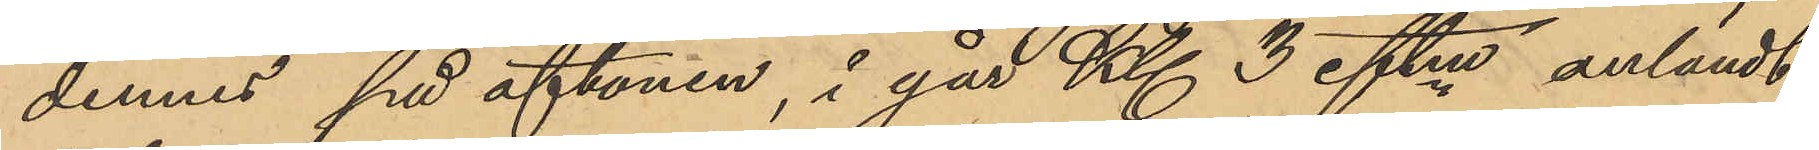dennes på aftonen, i går Kl 3 eftm anländt
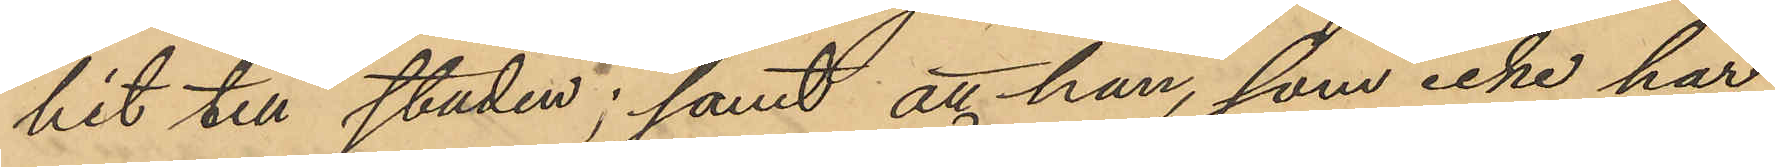hit till staden; samt att han, som icke har
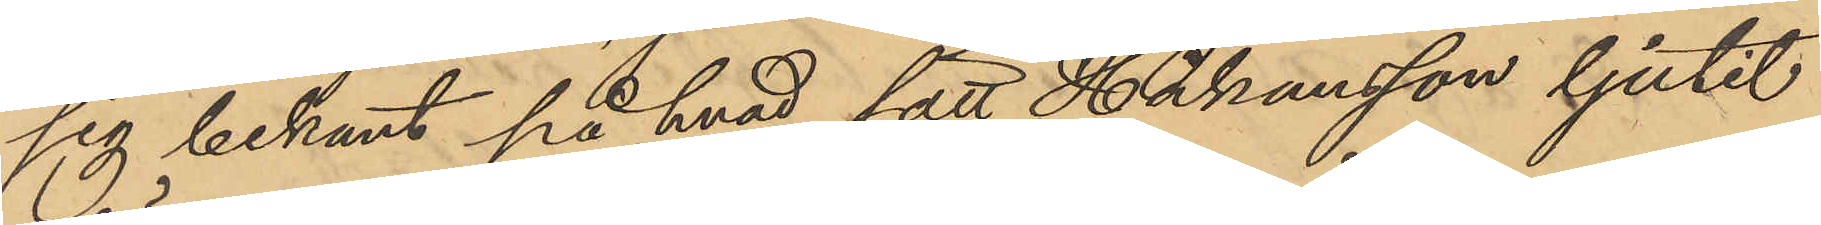sig bekant på hvad sätt Håkansson ljutit
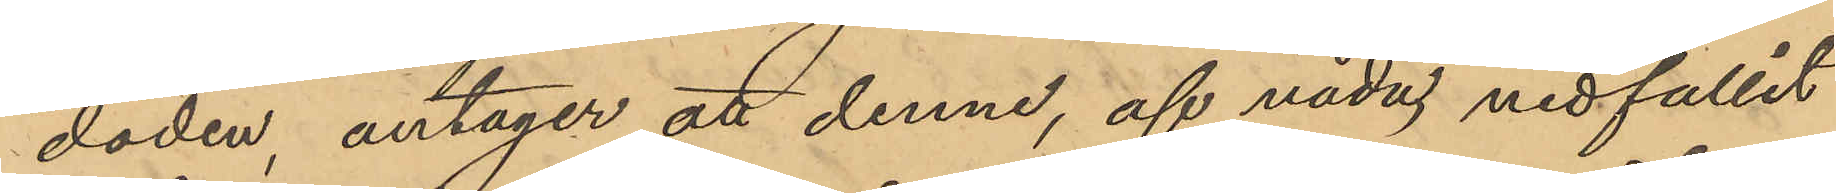döden antager att denne, af våda nedfallit
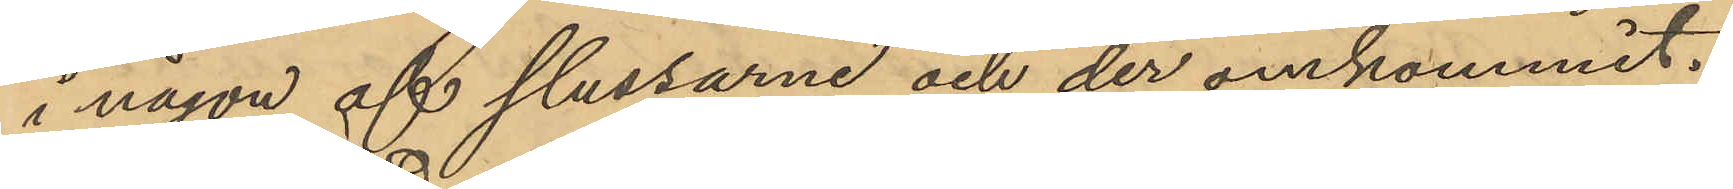i någon af slussarne och der omkommit.
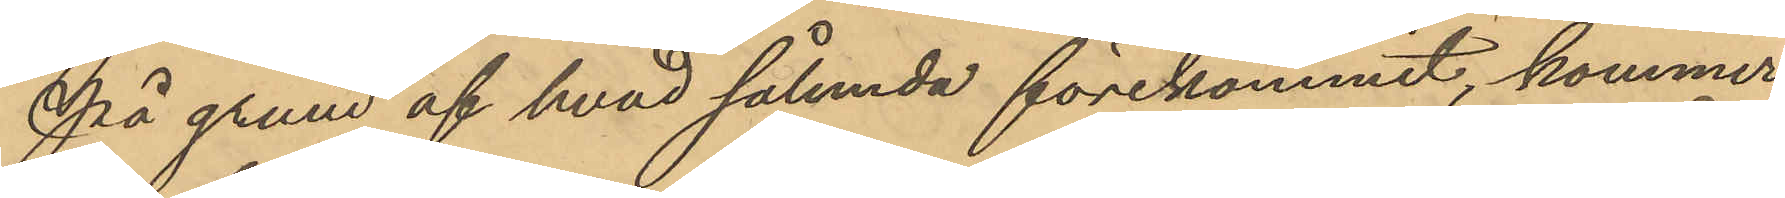På grund af hvad sålunda förekommit, kommer
